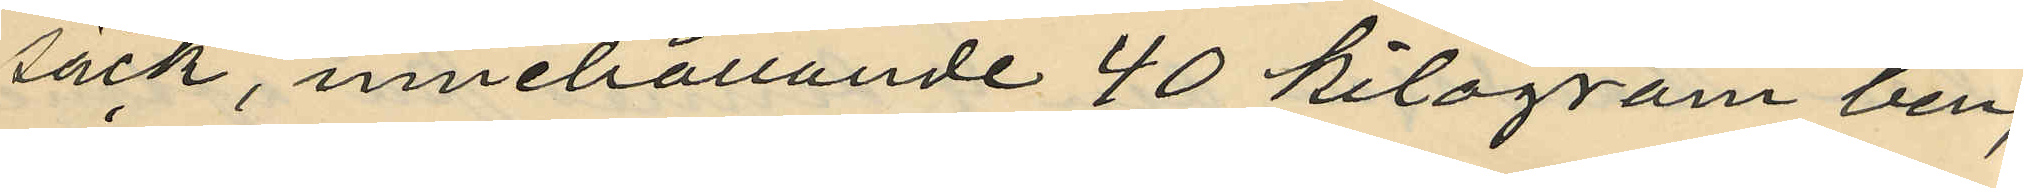säck, innehållande 40 kilogram ben,
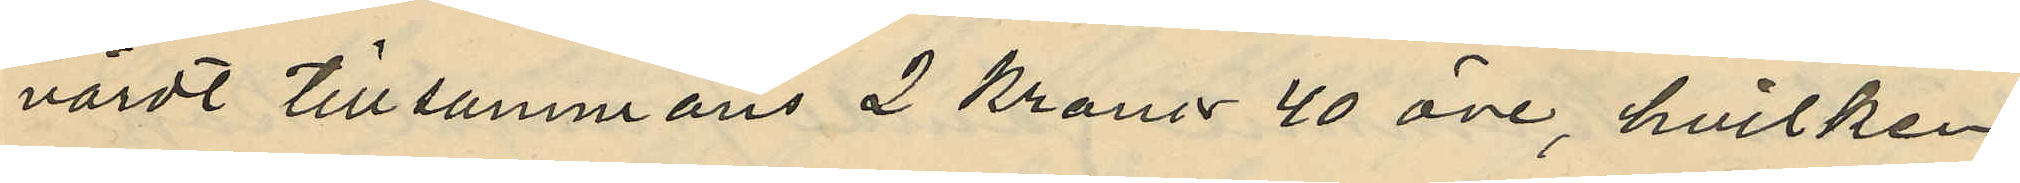värdt tillsammans 2 Kronor 40 öre, hvilken
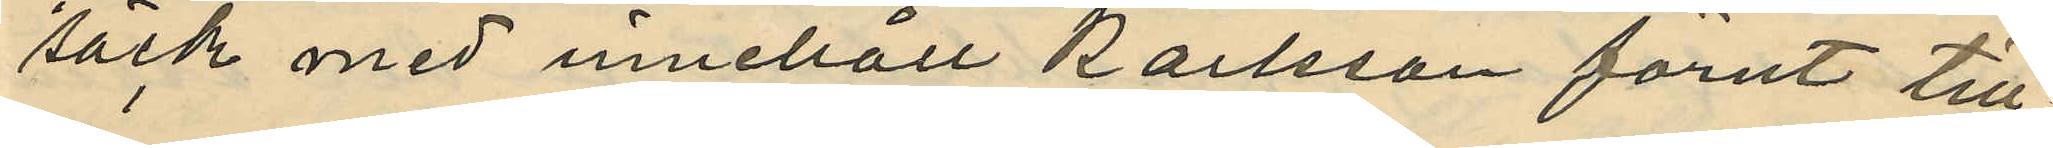säck med innehåll Karlsson förut till¬
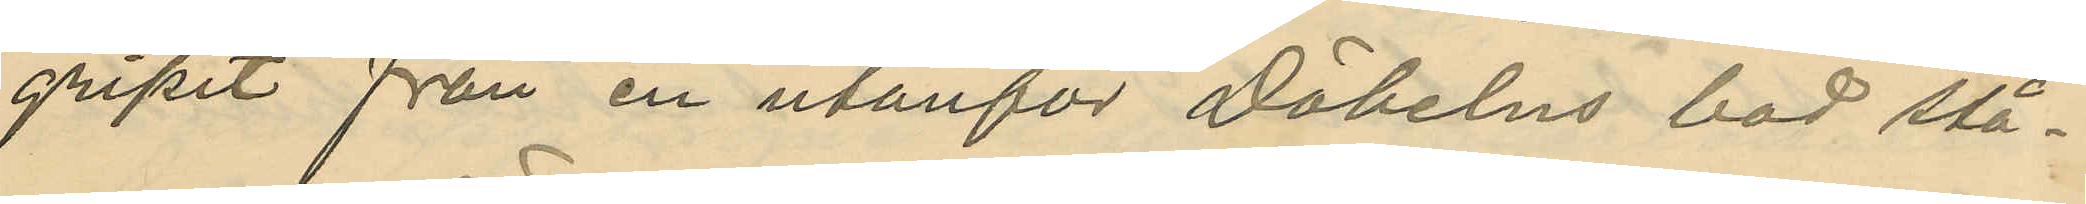gripit från en utanför Döbelns bod stå¬
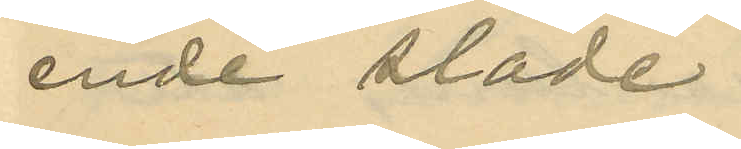ende släde.
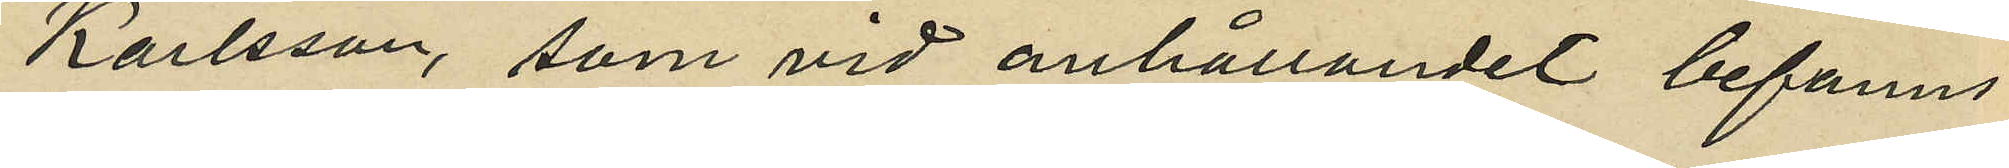Karlsson, som vid anhållandet befanns
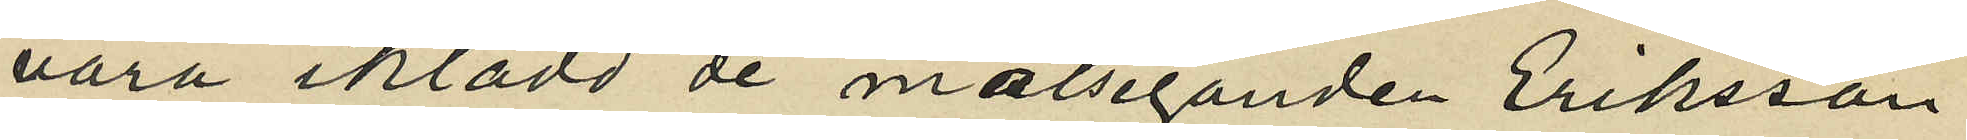vara iklädd de målseganden Eriksson
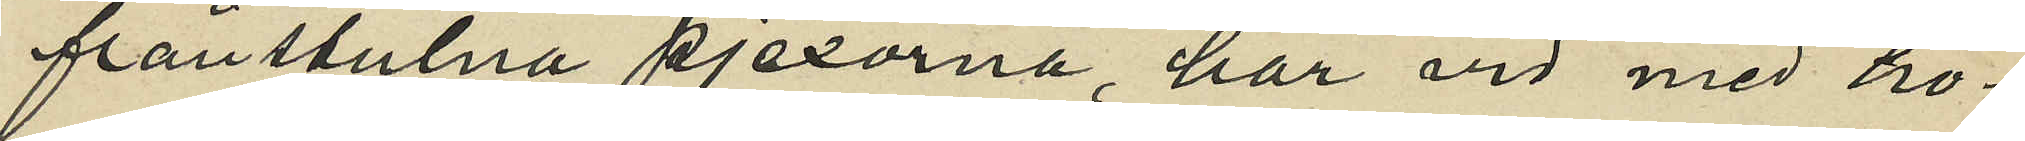frånstulna pjexorna, har vid med ho¬
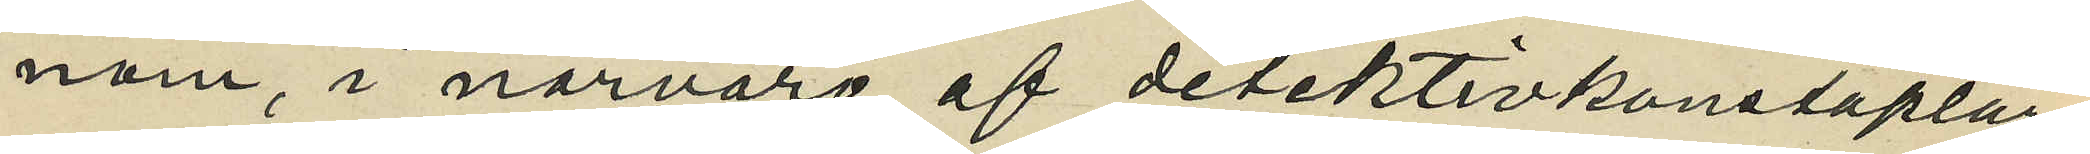nom, i närvaro af detektivkonstaplar¬
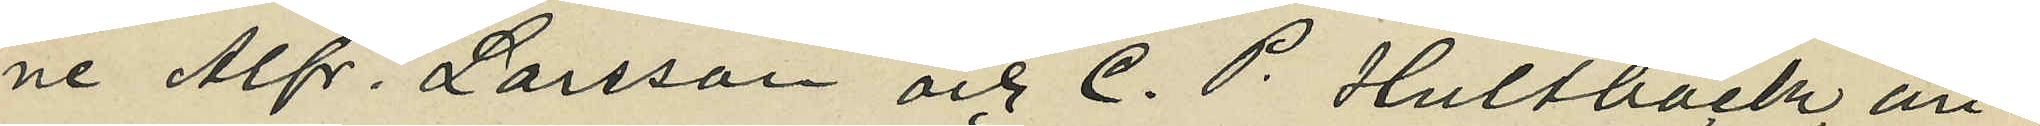ne Alfr. Larsson och C. P. Hultbäck, an¬
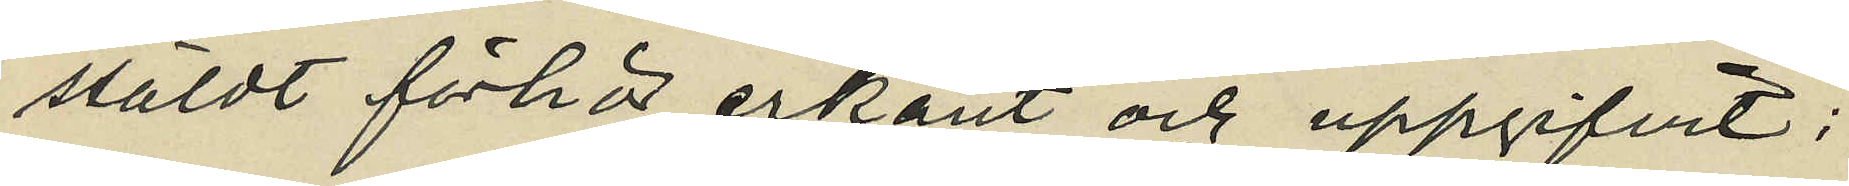stäldt förhör erkänt och uppgifvit:
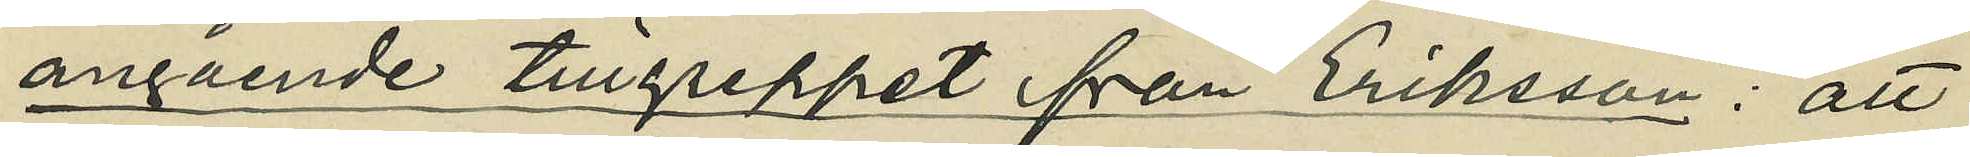angående tillgreppet från Eriksson: att
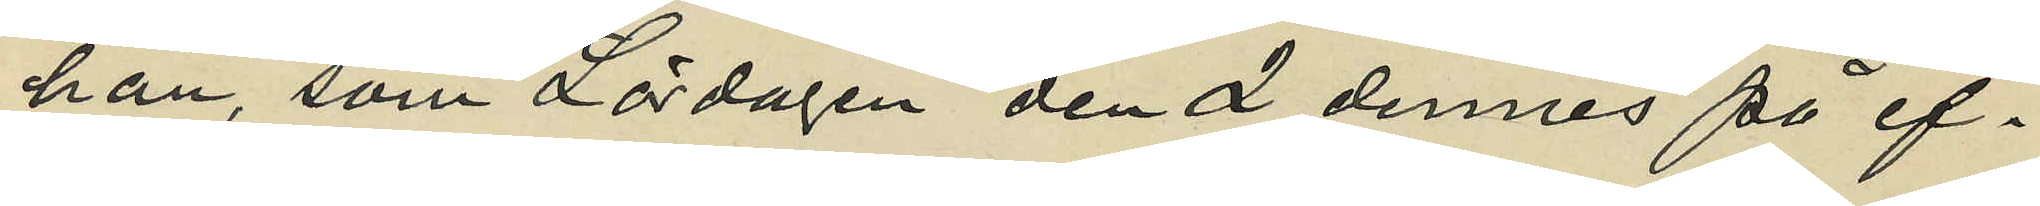han, som Lördagen den 2 dennes på ef¬
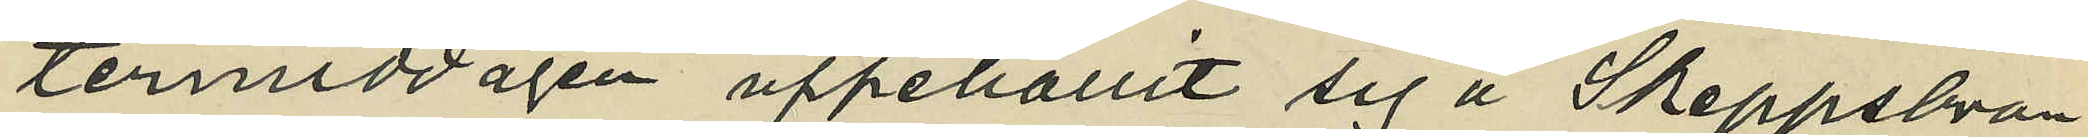termiddagen uppehållit sig å Skeppsbron,
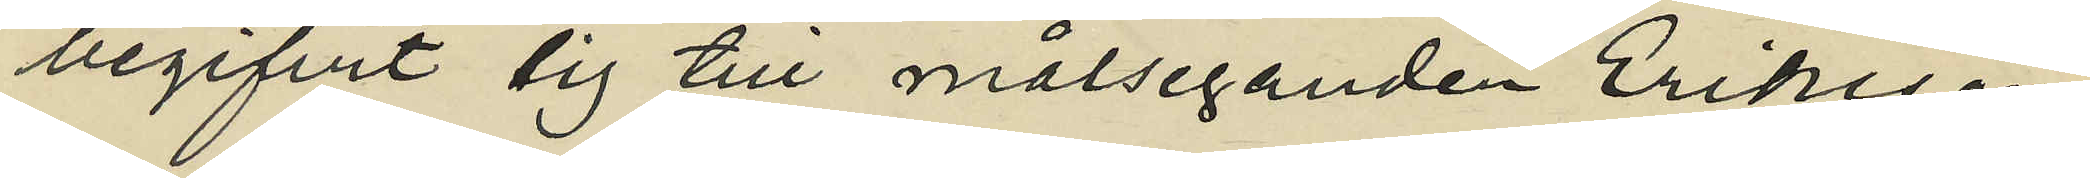begifvit sig till målseganden Erikssons
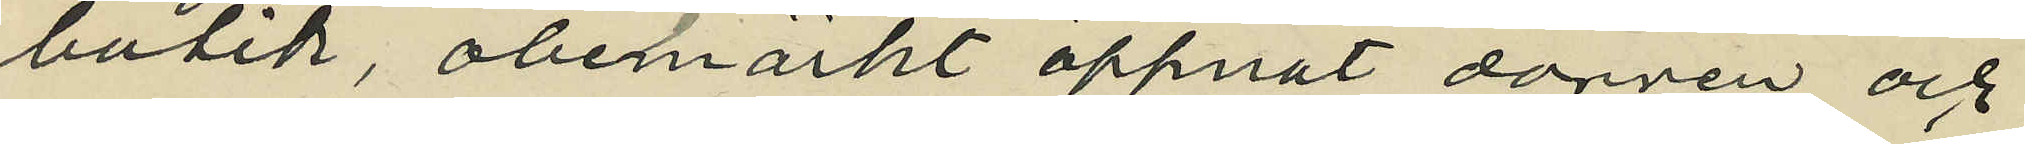butik, obemärkt öppnat dörren och
